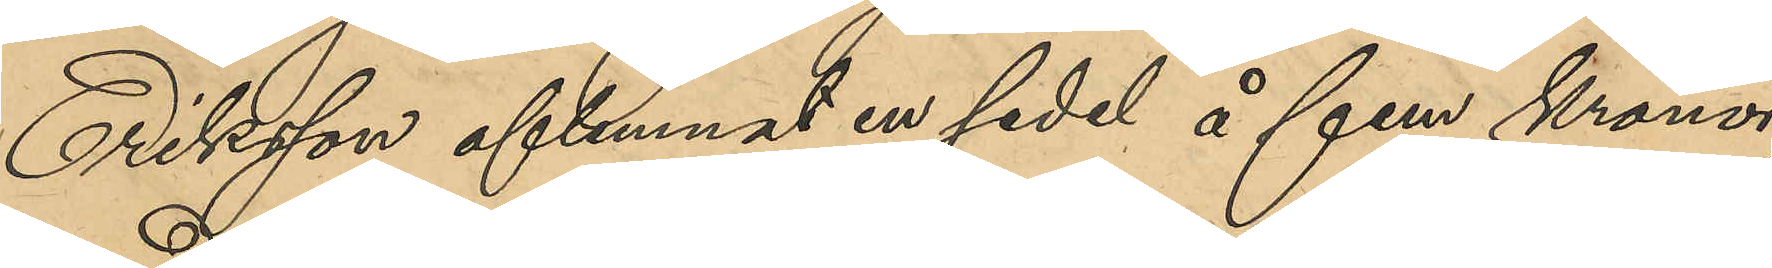Eriksson aflemnat en sedel å fem kronor,
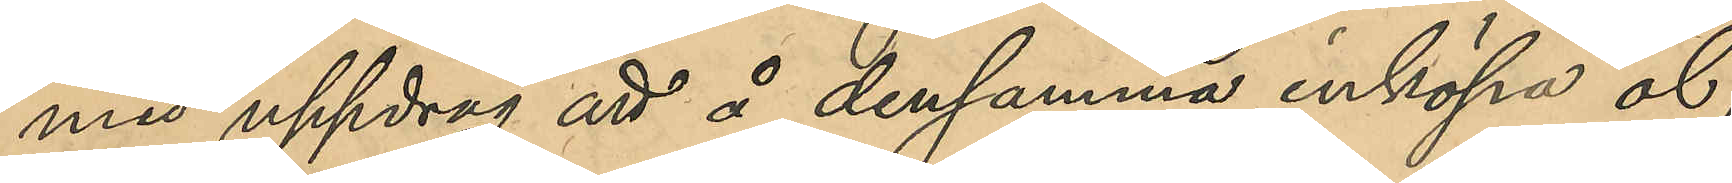med uppdrag att å densamma inköpa öl;
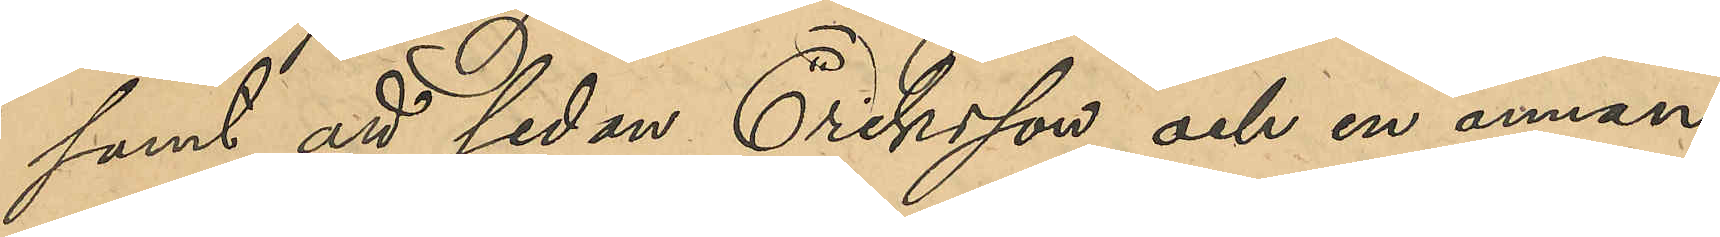samt att sedan Eriksson och en annan
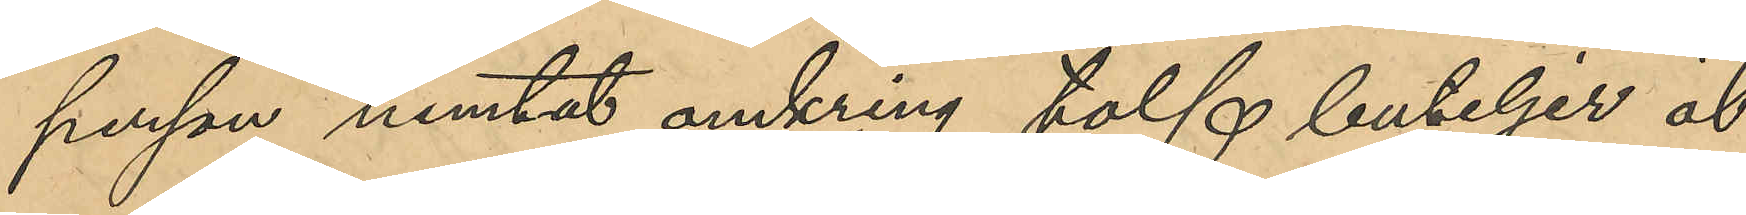person hemtat omkring tolf buteljer öl
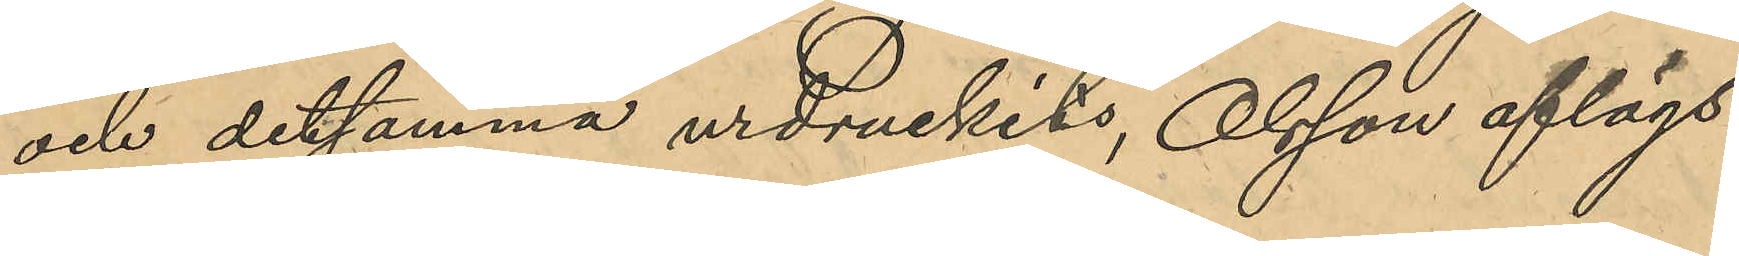och detsamma urdruckits, Olsson aflägs¬
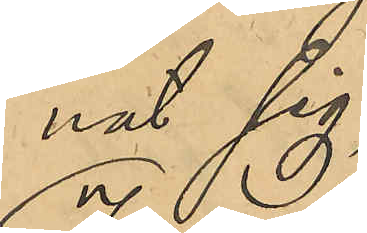nat sig;
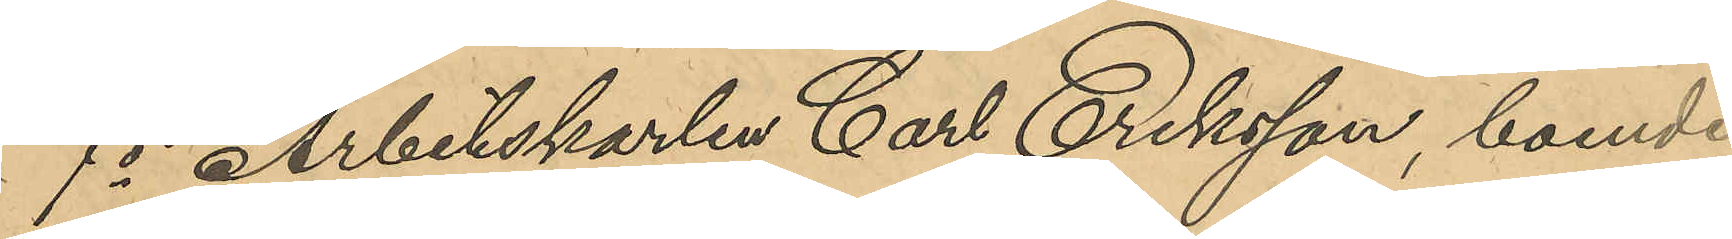7o Arbetskarlen Carl Eriksson, boende 
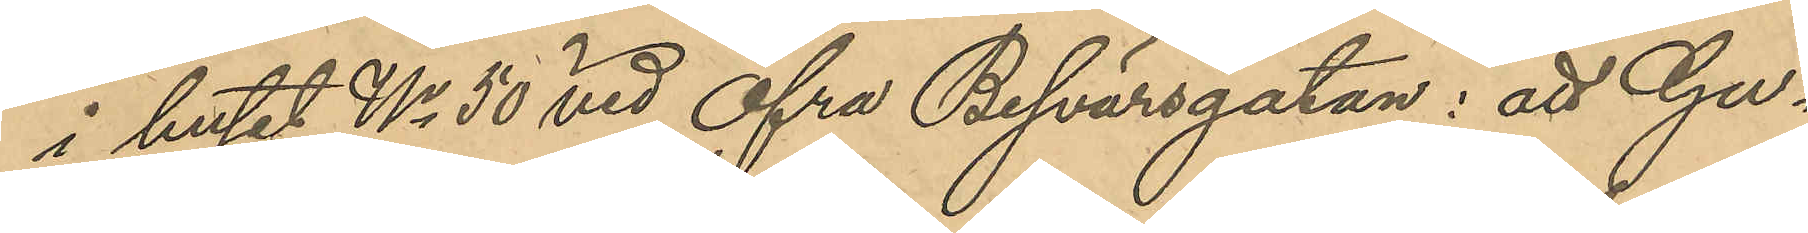i huset No 50 vid Öfra Besvärsgatan: att Gu¬
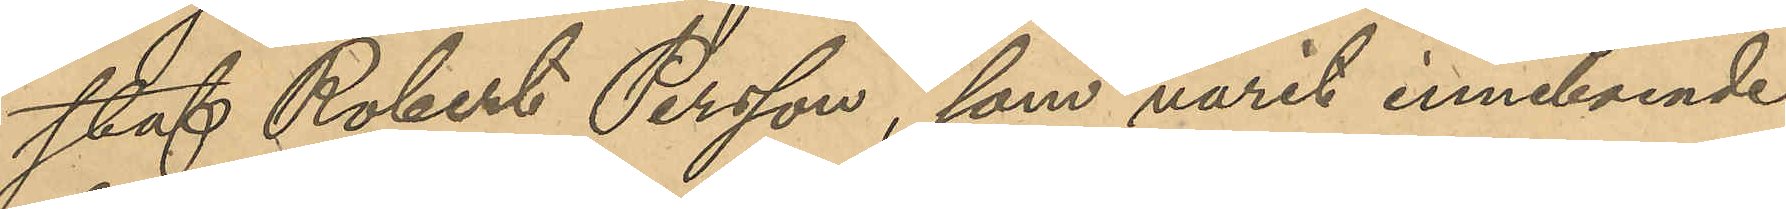staf Robert Persson, som varit inneboende
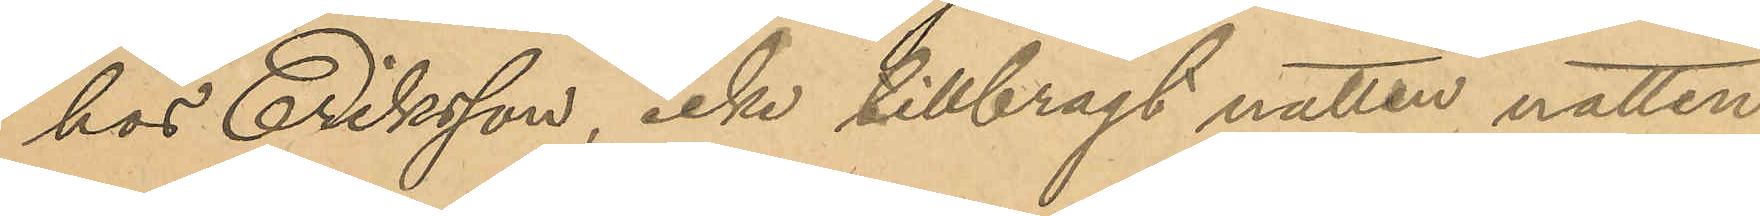hos Eriksson, icke tillbragt natten natten
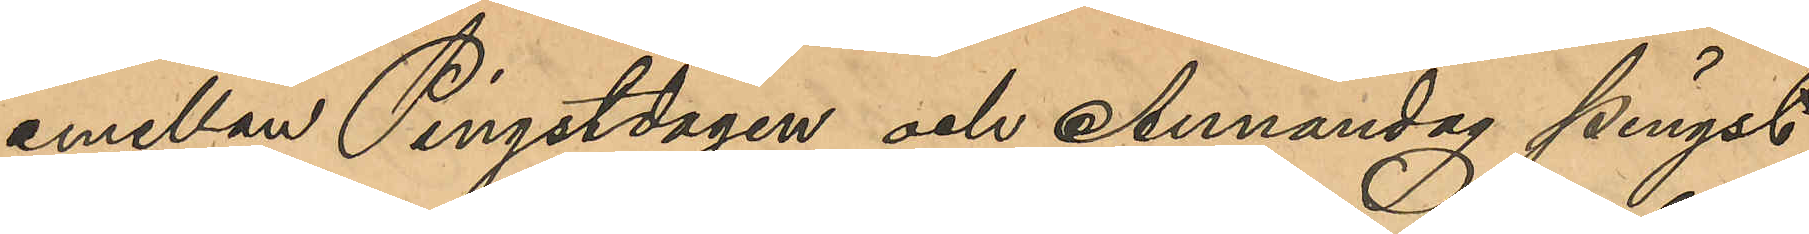emellan Pingstdagen och Annandag pingst,
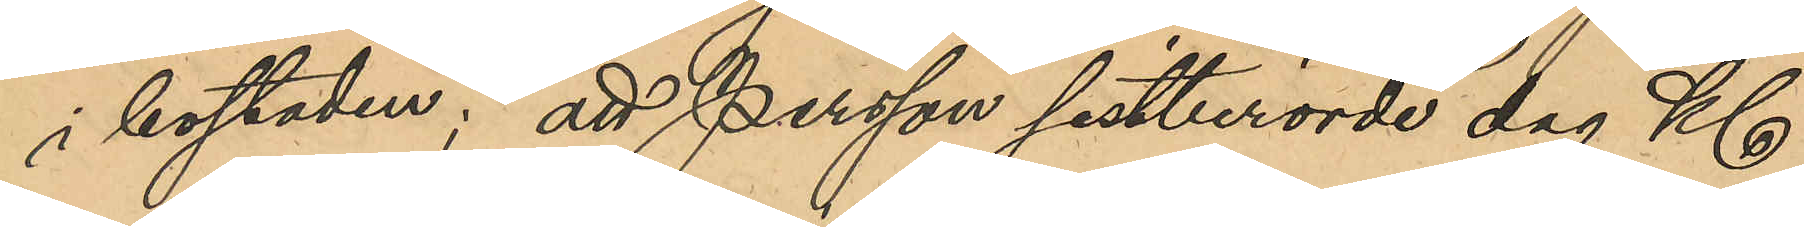i bostaden; att Persson sistberörde dag Kl
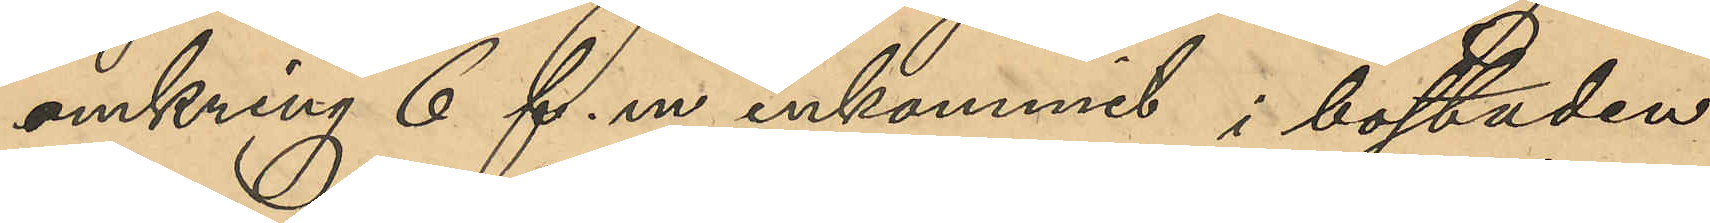omkring 6 f. m inkommit i bostaden
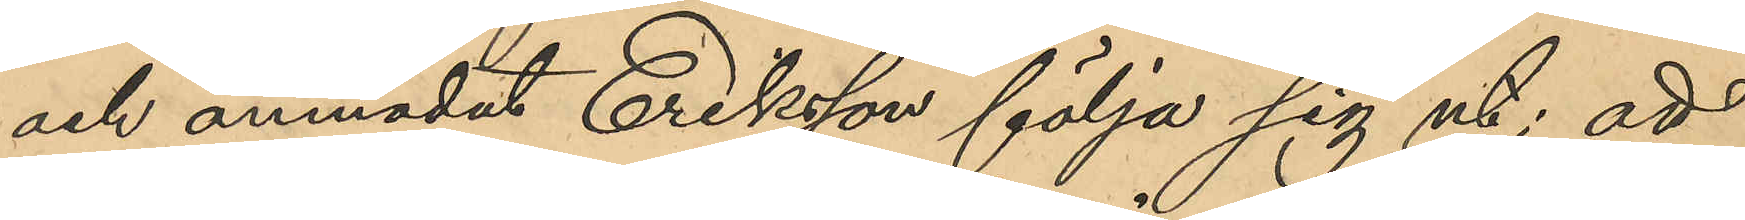och anmodat Eriksson följa sig ut; att
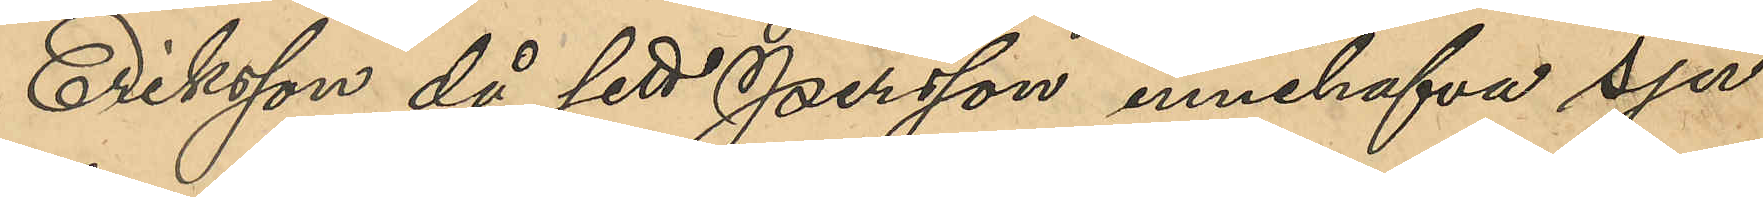Eriksson då sett Persson innehafva sju
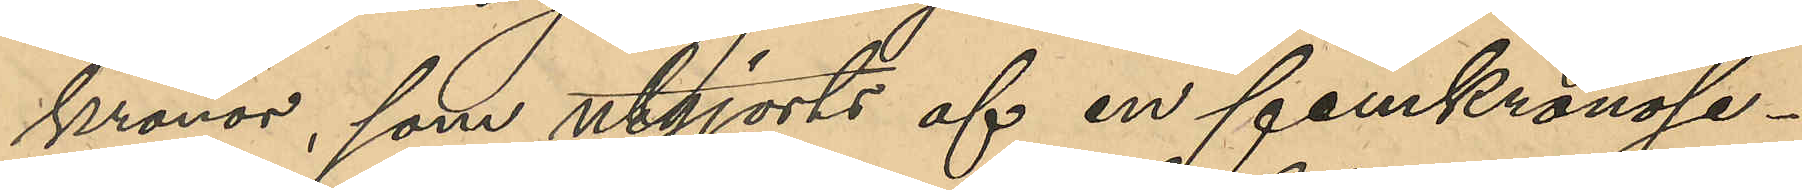kronor, som utgjorts af en femkronose¬
